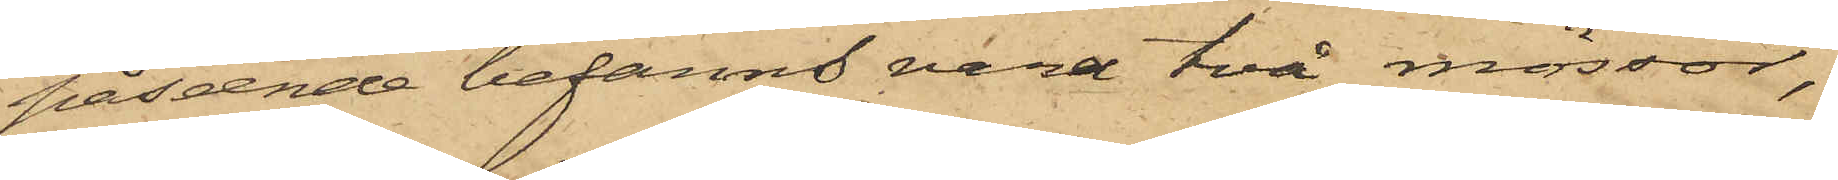påseende befanns vara två mössor,
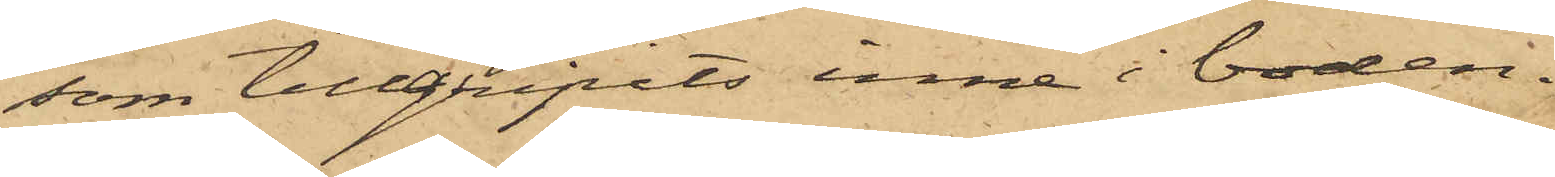som tillgripits inne i boden.
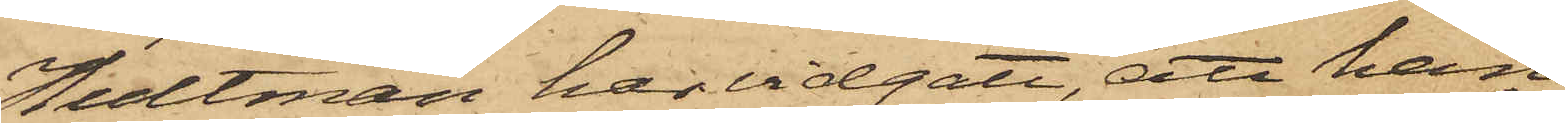Hultman har vidgått, att han
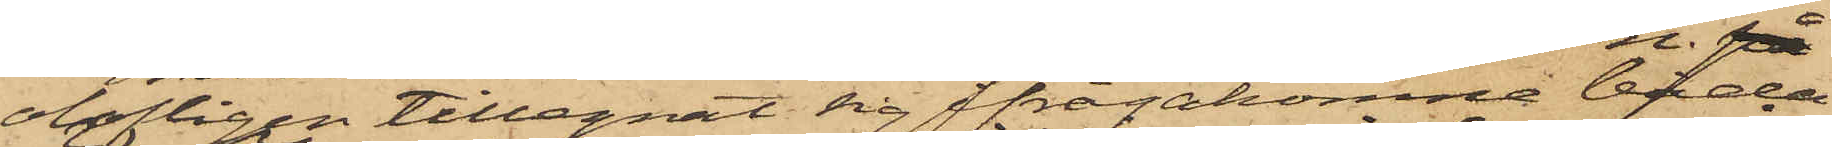olofligen tillegnat sig ifrågakomne båda
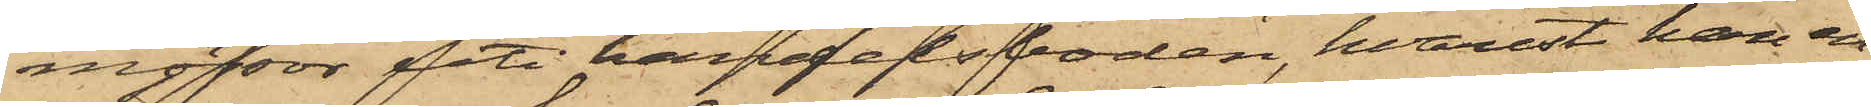mössor uti handelsboden, hvarest han en
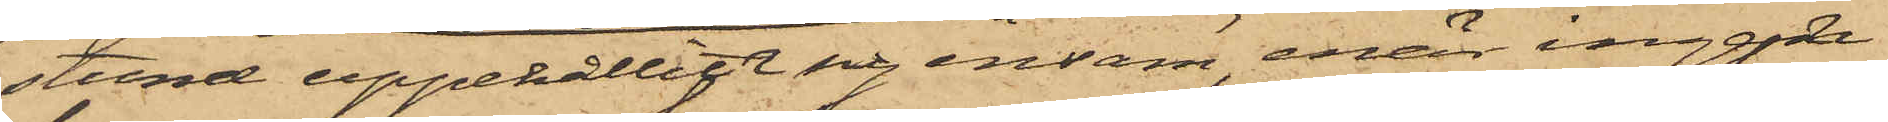 stund uppehållit ensam, enär ingen
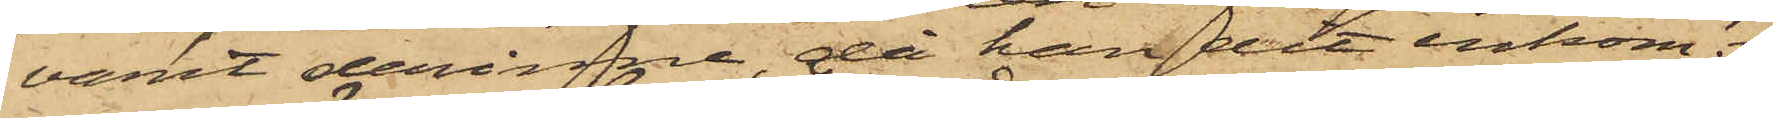varit derinne, då han dit inkom.
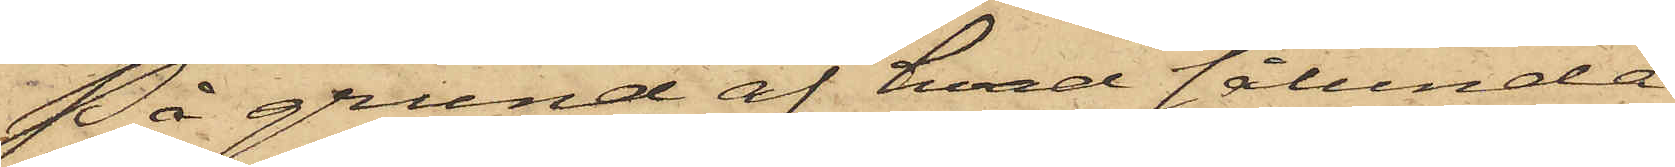På grund af hvad sålunda
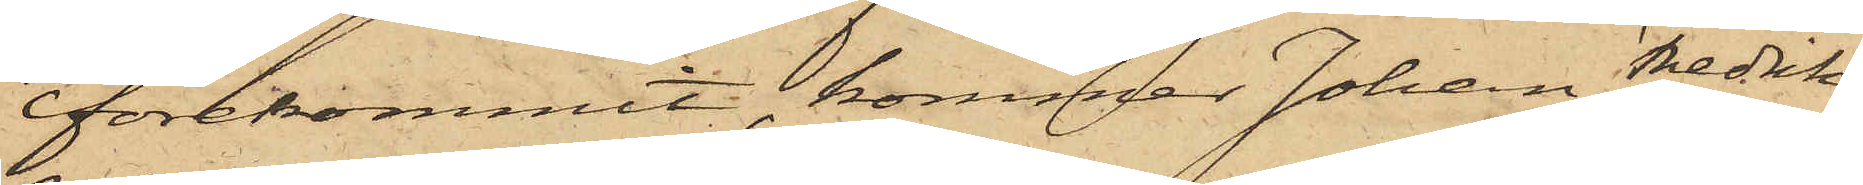förekommit, kommer Johan Fredrik
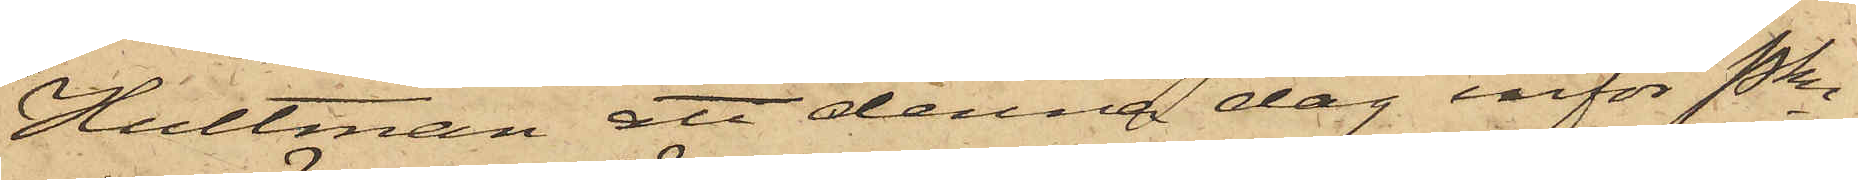Hultman att denna dag inför Pkn
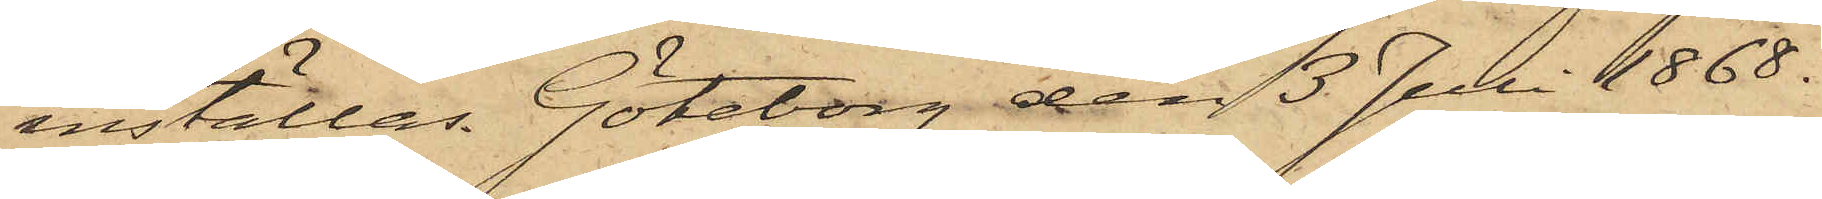inställas. Göteborg den 13 Juli 1868.
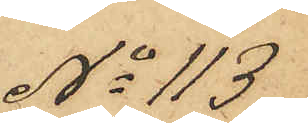No 113
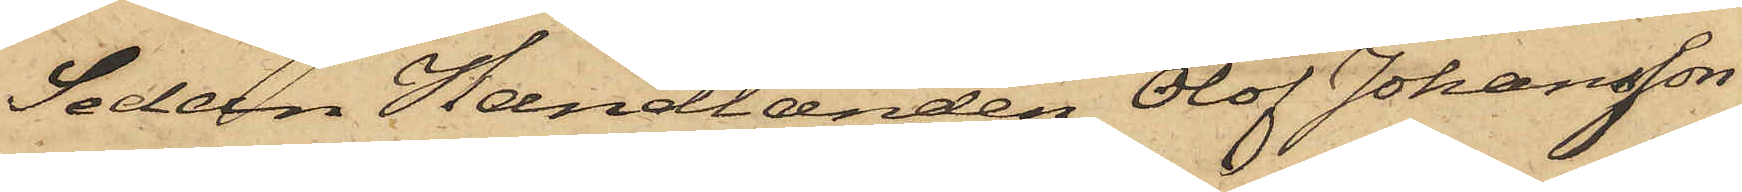Sedan Handlanden Olof Johansson
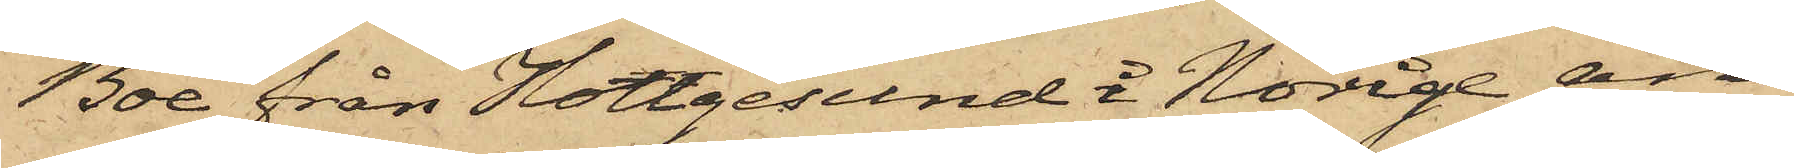Boe från Hougesund i Norige an¬
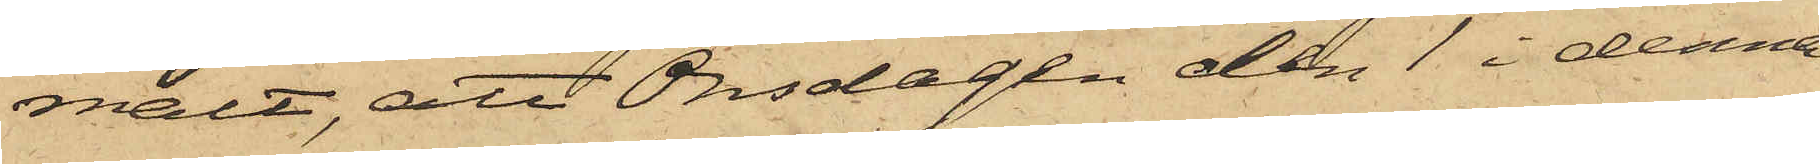mält, att Onsdagen den 1 i denna
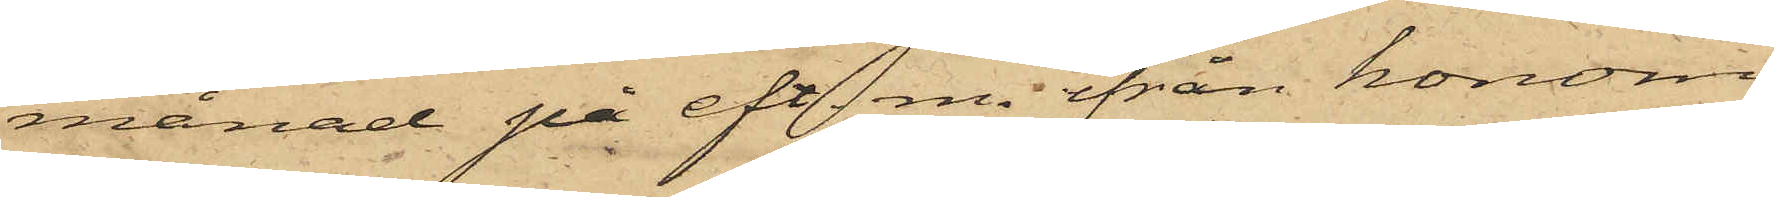månad på eft. m. från honom,
